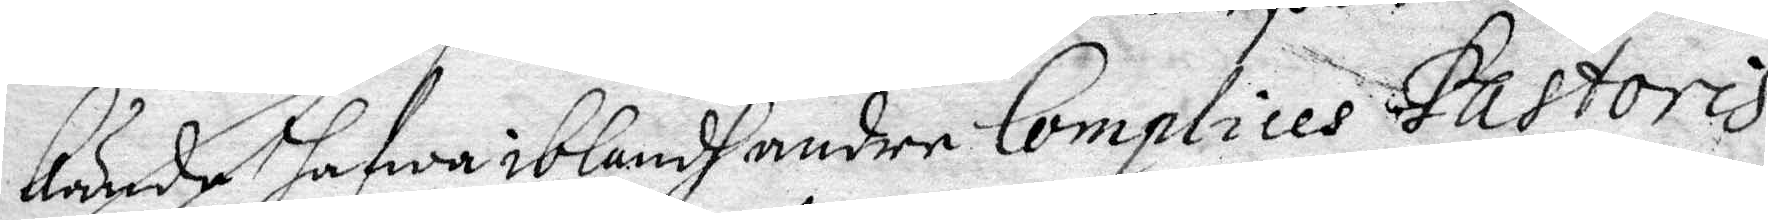kände hafwa ibland andre Complices Pastoris
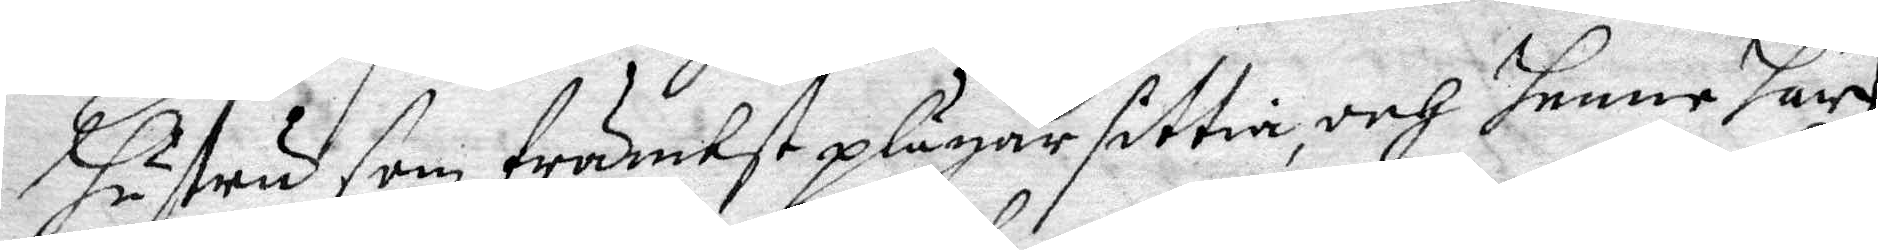hustru som främbst plägar sittia, och henne har
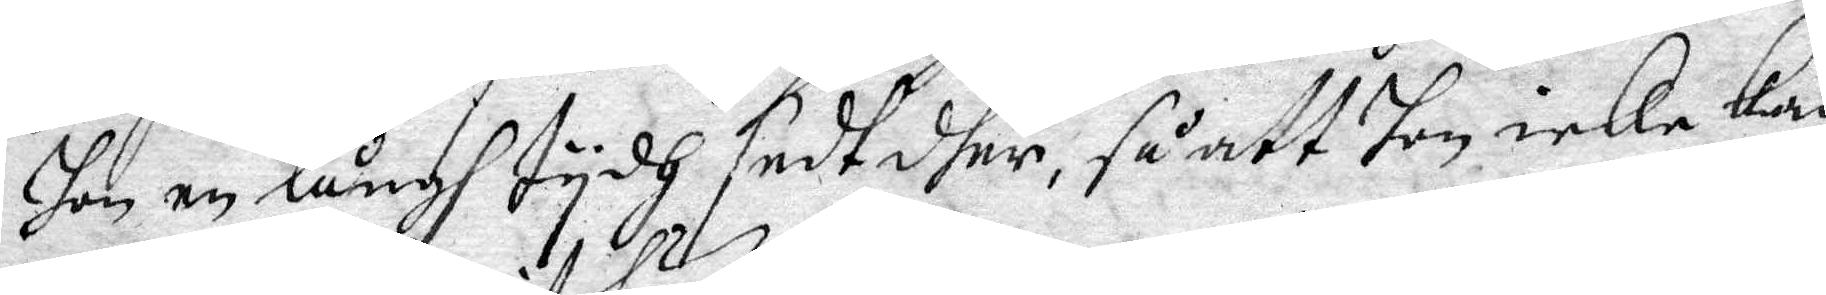hon en långh tydh sedt dher, så att hon icke kan
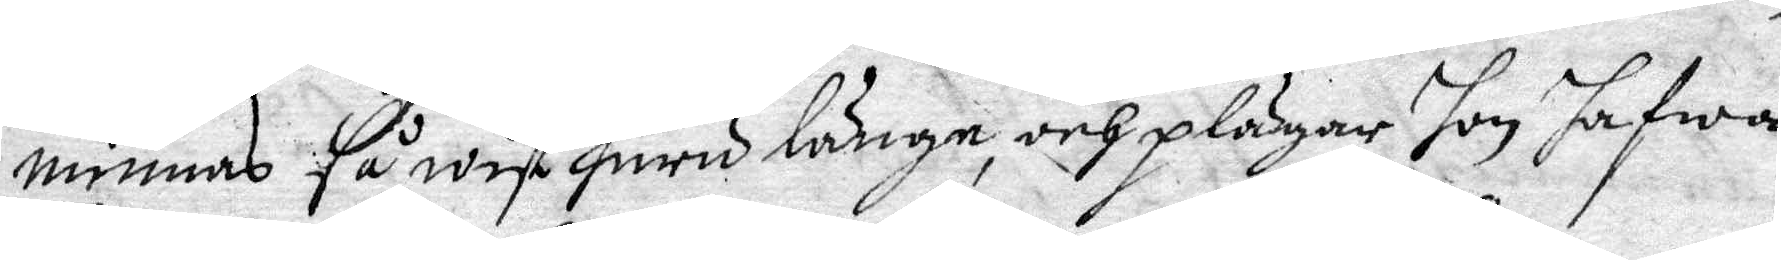minnas så wist huru länge, och plägar hon hafwa
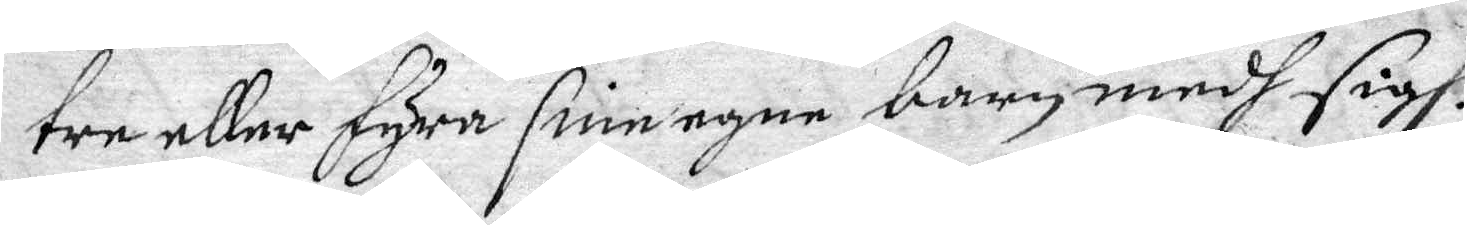tre eller fyra sine egne barn medh sigh.
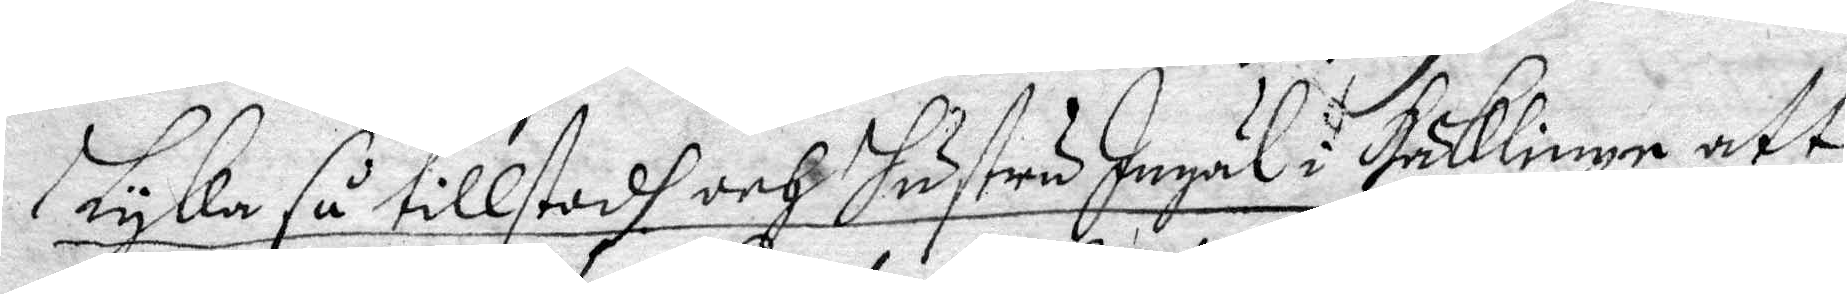Lyka så tillstodh och hustru Ingäl i Häklinge att
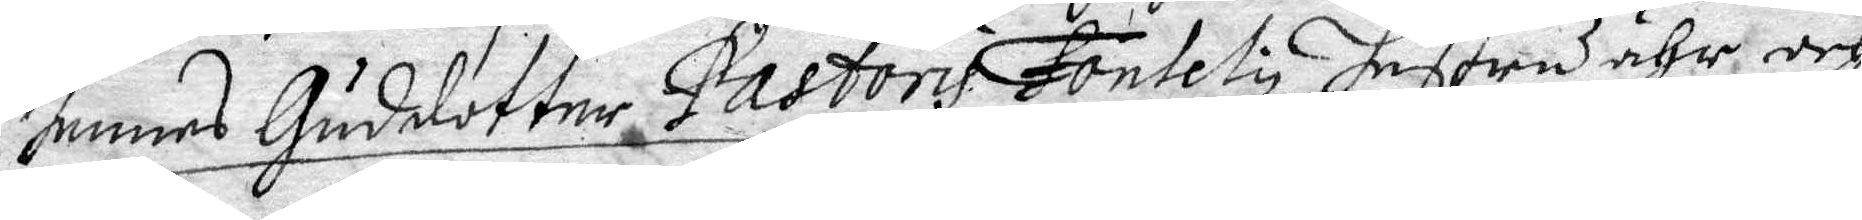hennes Guddotter Pastoris Fontely hustru ähr och 
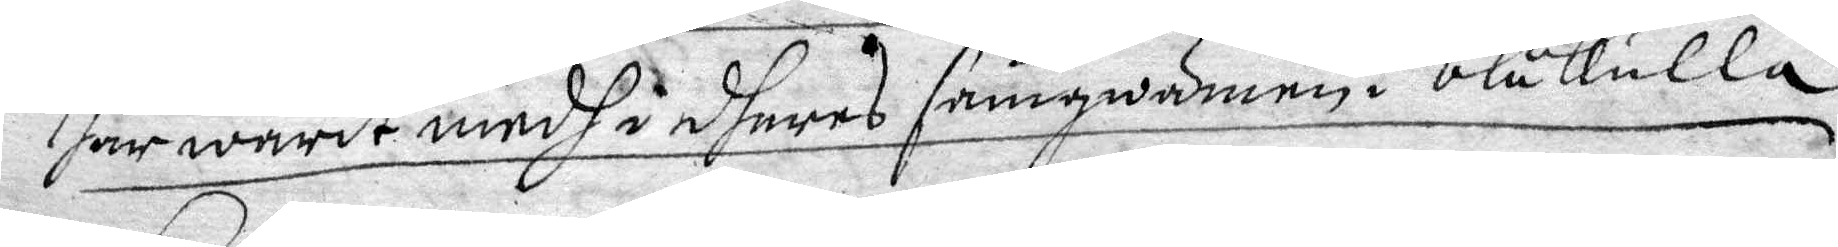har warit medh i dheres samqwämen i blåkulla
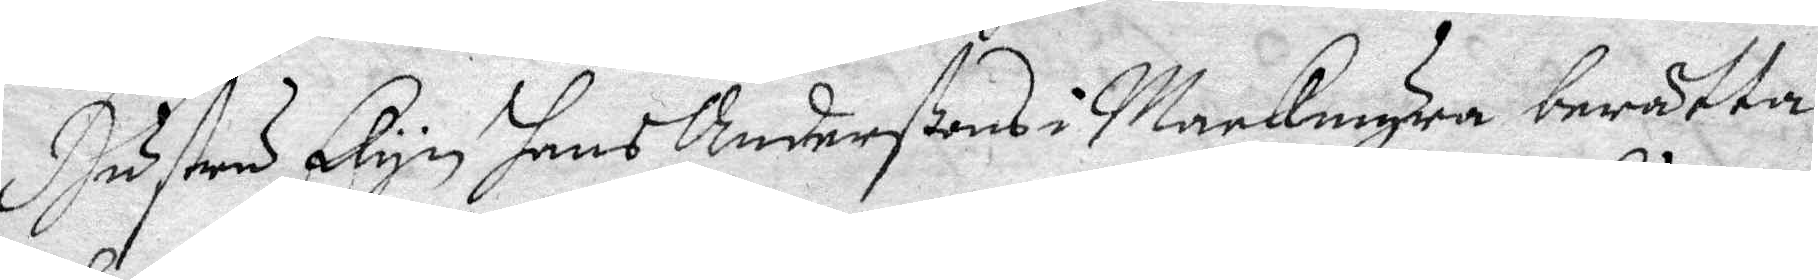Hustru Elyn hans Andersßons i Mackmyra berättade
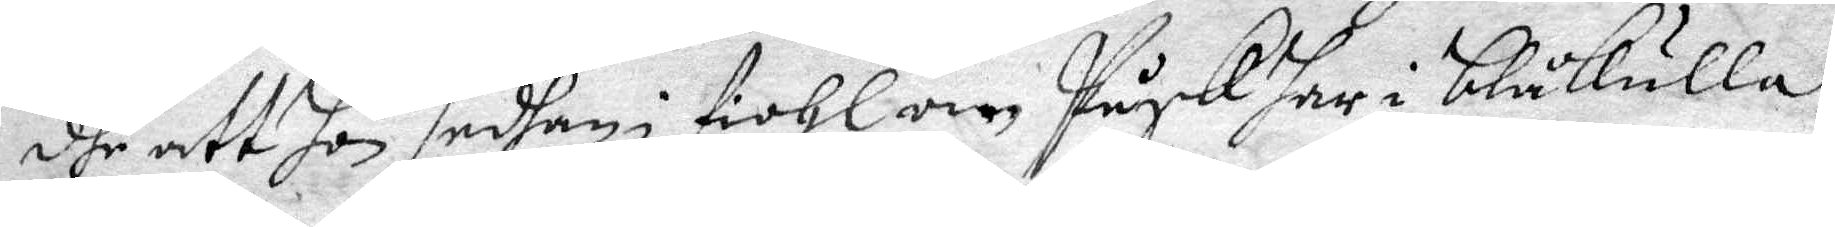dhe att hon i fiohl om Påsk har i blåkulla
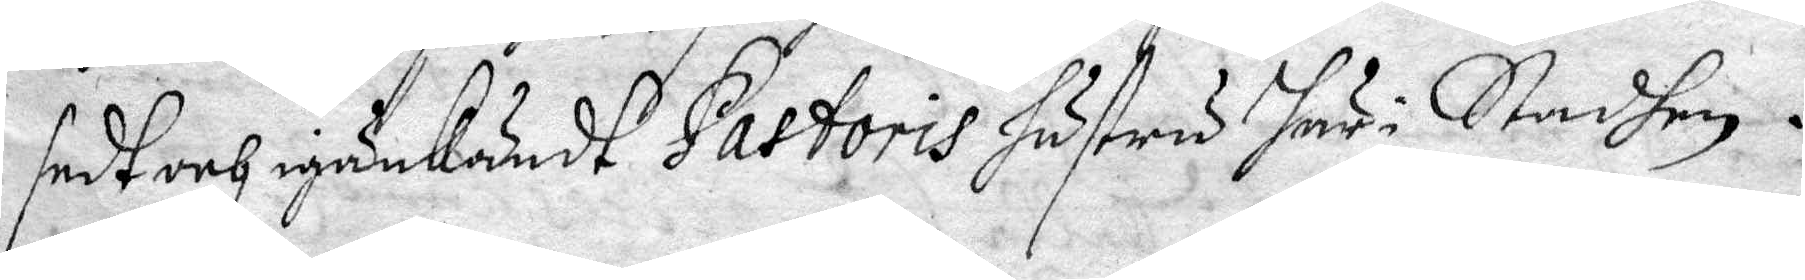sedt och igenkändt Pastoris hustru här i Stadhen.
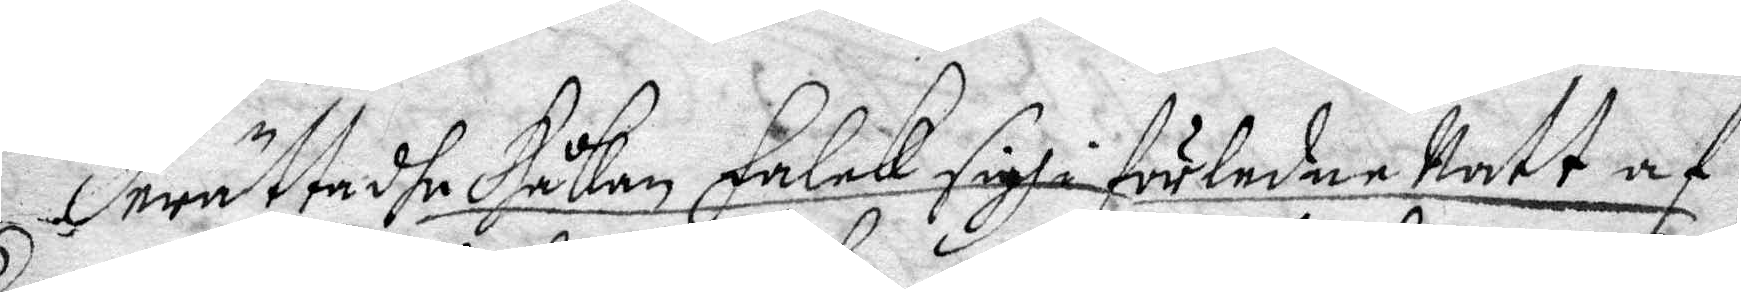Berättadhe Håkan Falck sigh i förledne Natt af
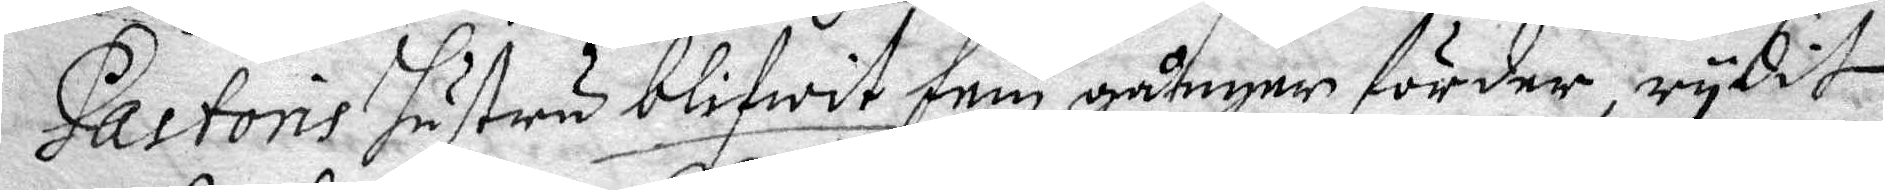Pastoris hustru blifwit fem gånger förder, rydit
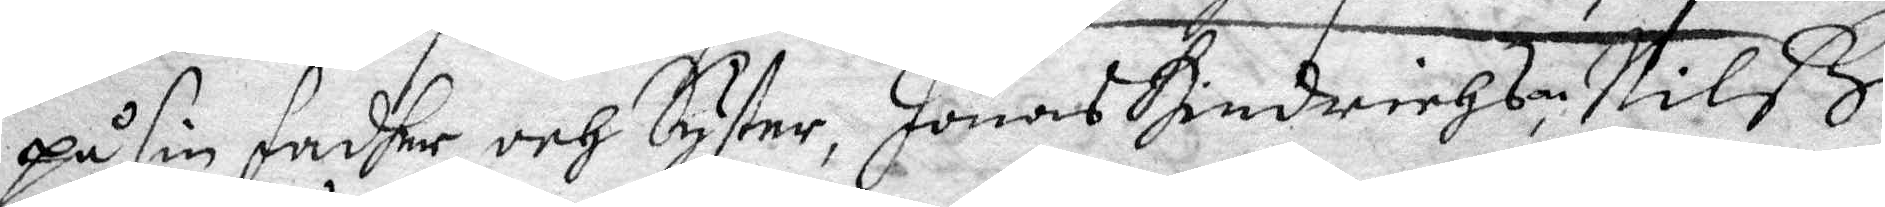på sin fadher och syster, Jonas Hindrichson, Nilß
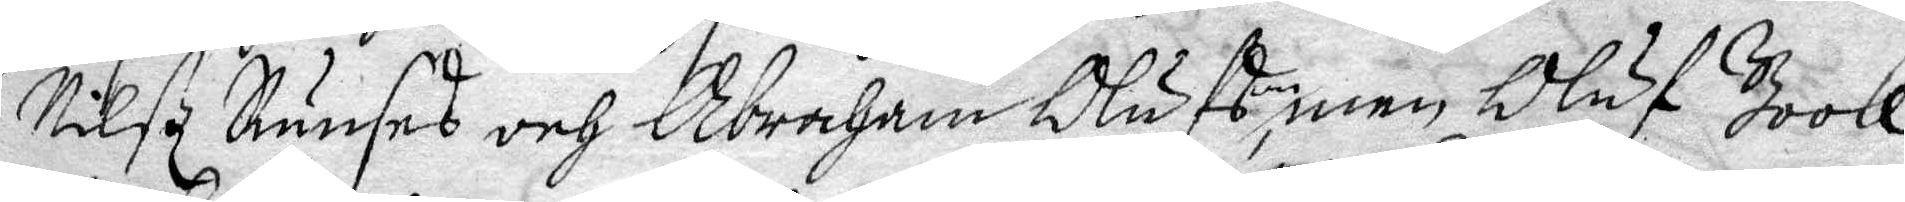Nilß Runses och Abraham Olufson, men Oluf Book
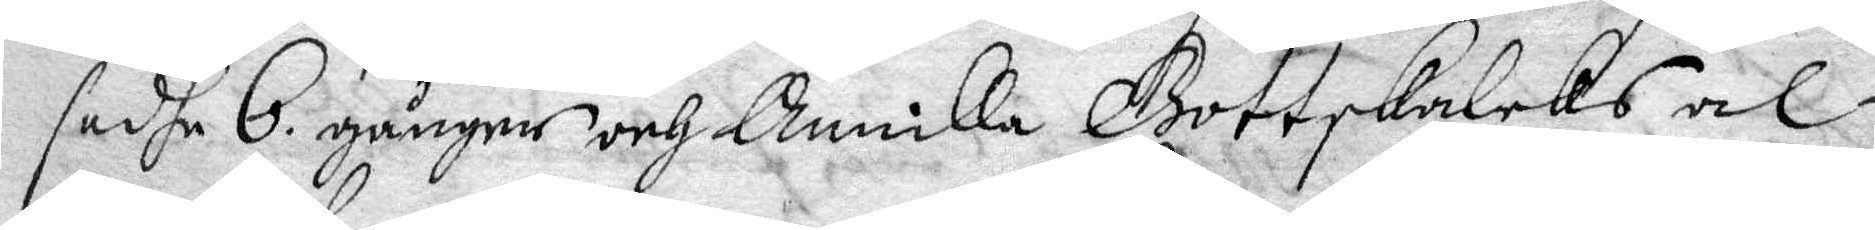sadhe 6 gånger och Annika Gottskalcks al¬
